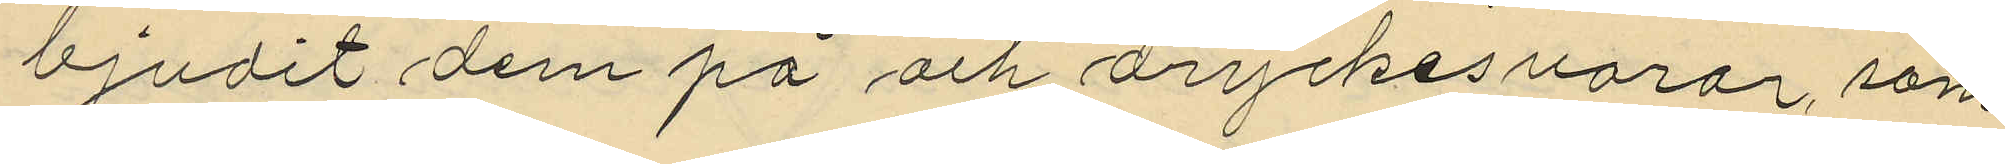bjudit dem på, och dryckesvaror, som
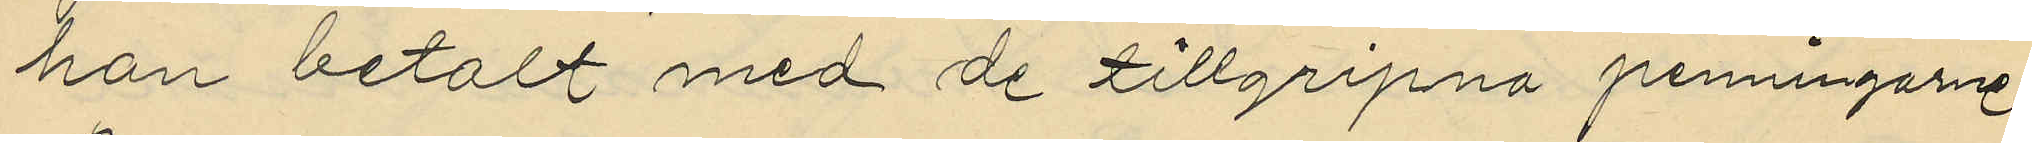han betalt med de tillgripna penningarne.
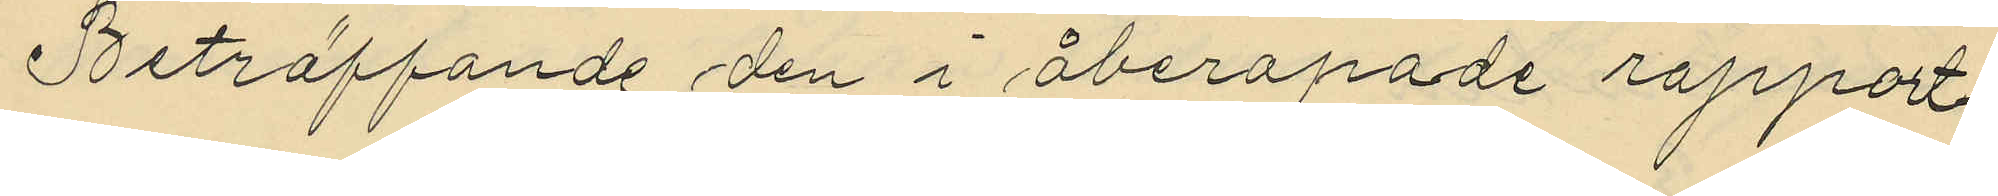Beträffande den i åberopade rapport¬
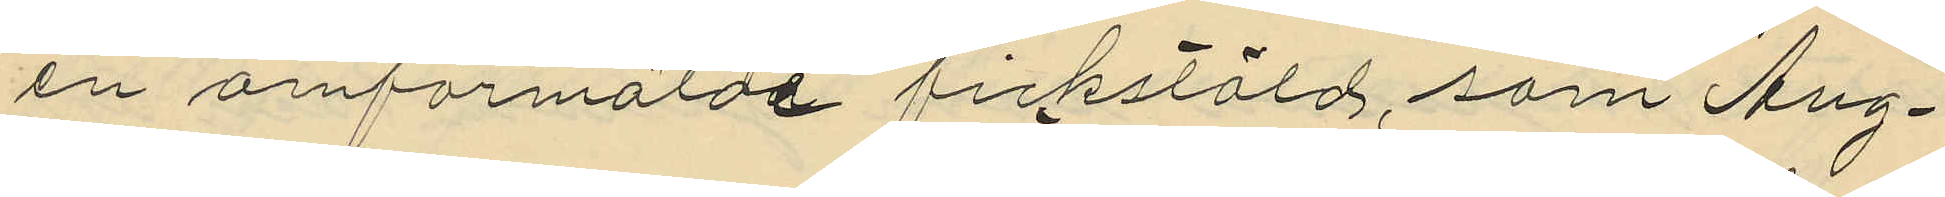en omförmälde fickstöld, som Aug¬
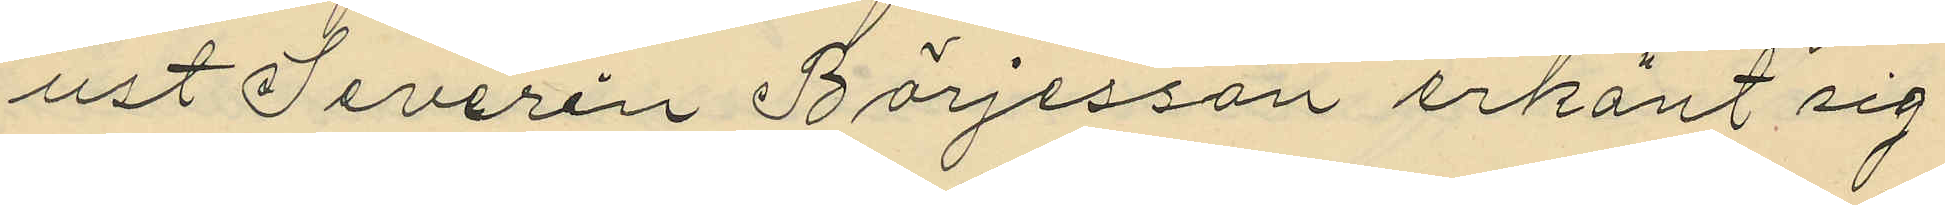ust Severin Börjesson erkänt sig
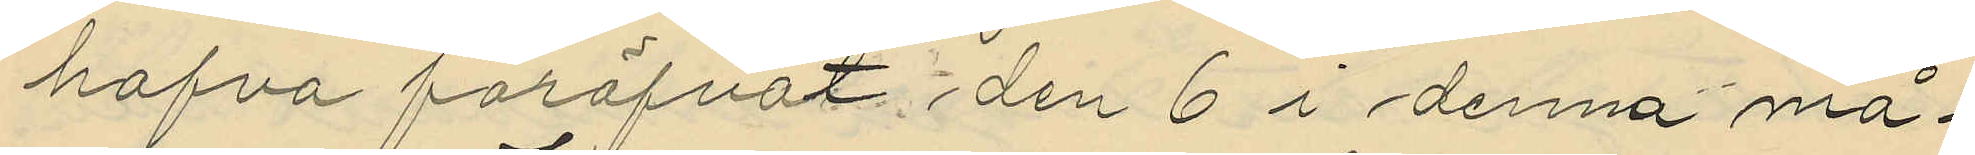hafva föröfvat den 6 i denna må¬
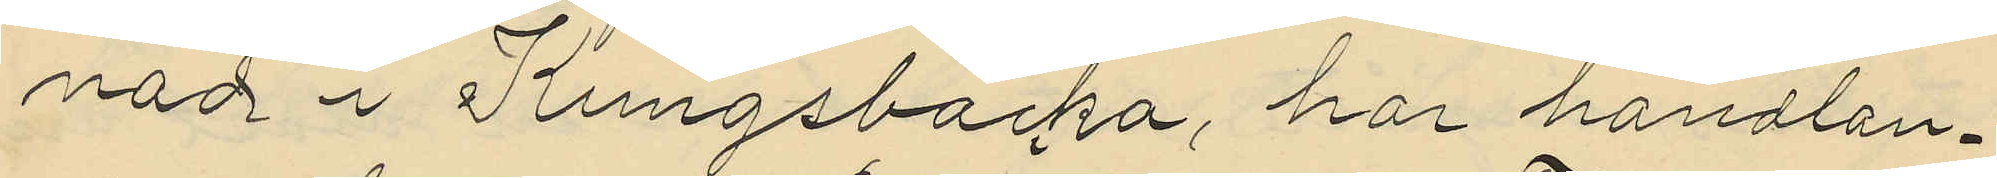nad i Kungsbacka, har handlan¬
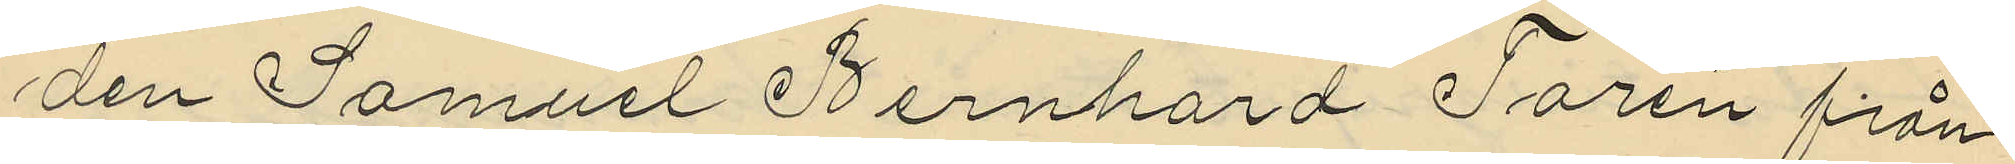den Samuel Bernhard Farén från
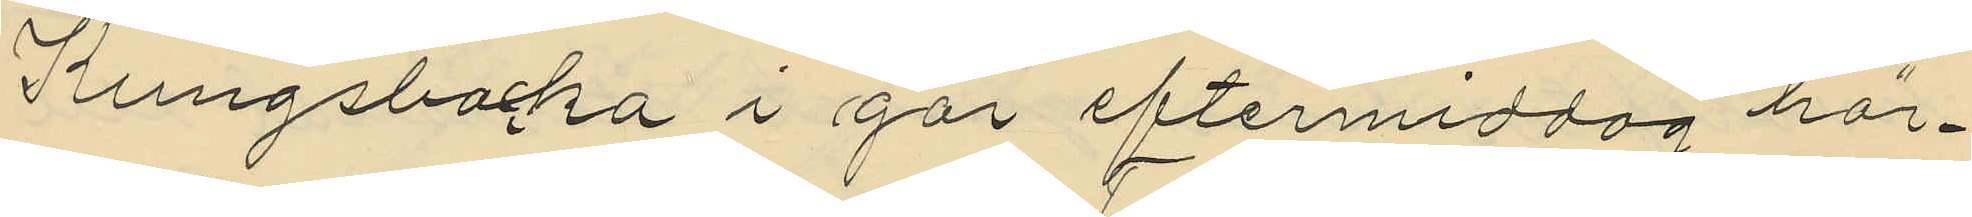Kungsbacka i går eftermiddag här¬
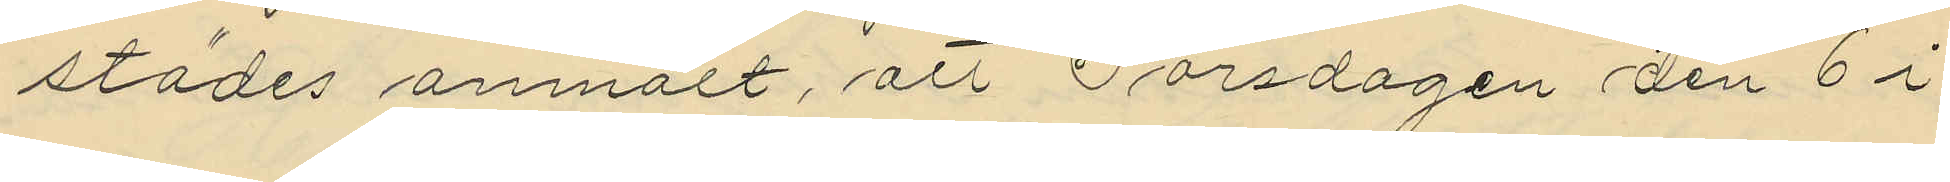städes anmält, att Torsdagen den 6 i
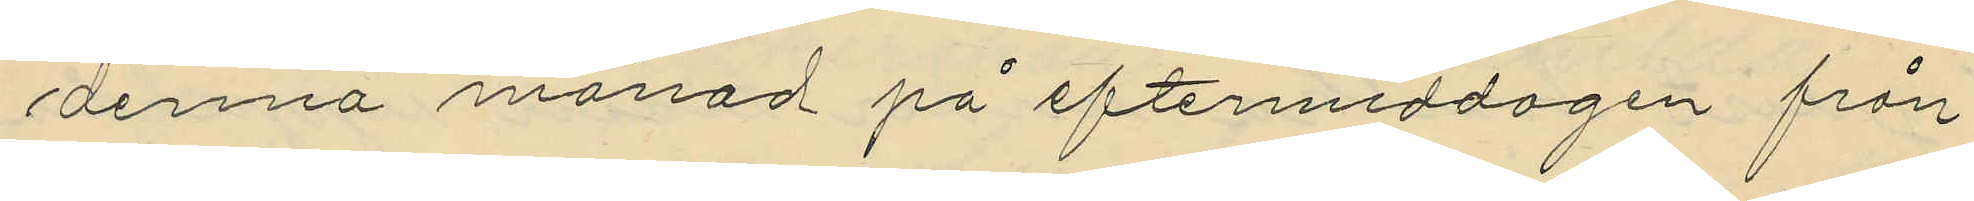denna månad på eftermiddagen från
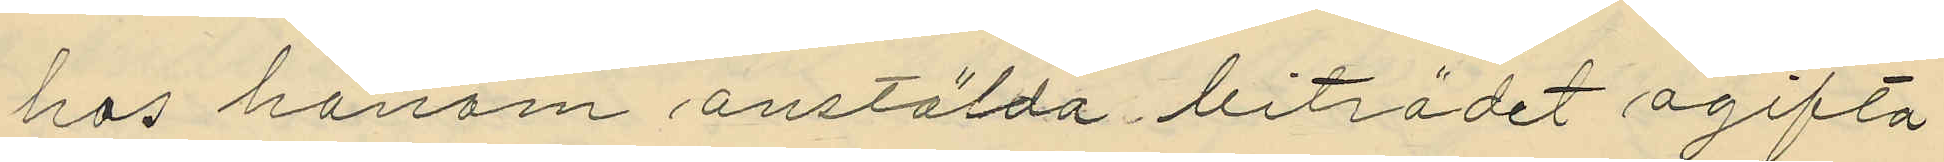hos honom anstälda biträdet ogifta
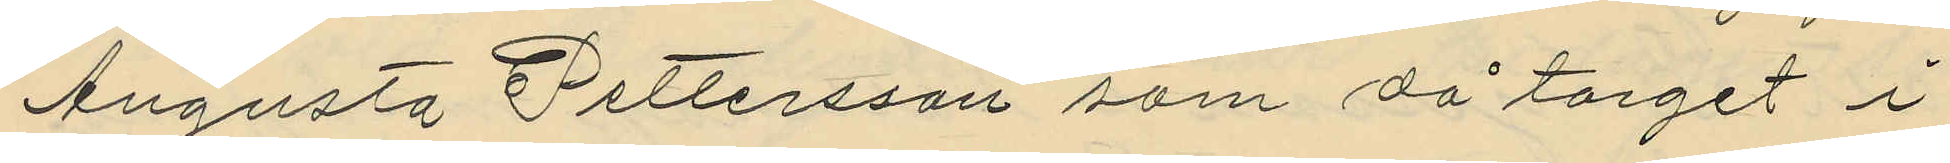Augusta Pettersson som på torget i
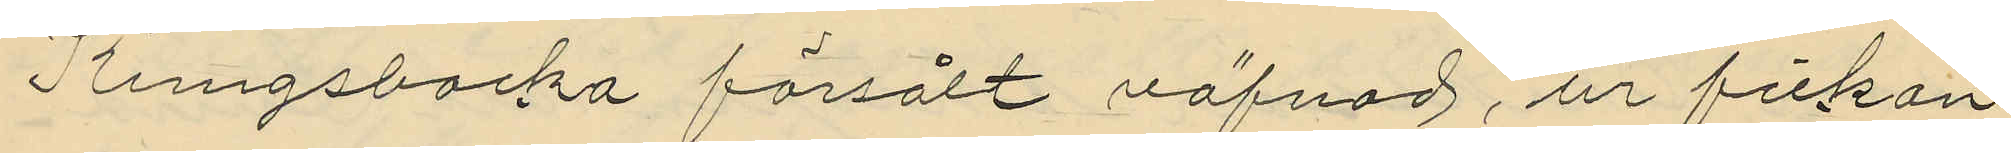Kungsbacka försålt väfnad, ur fickan
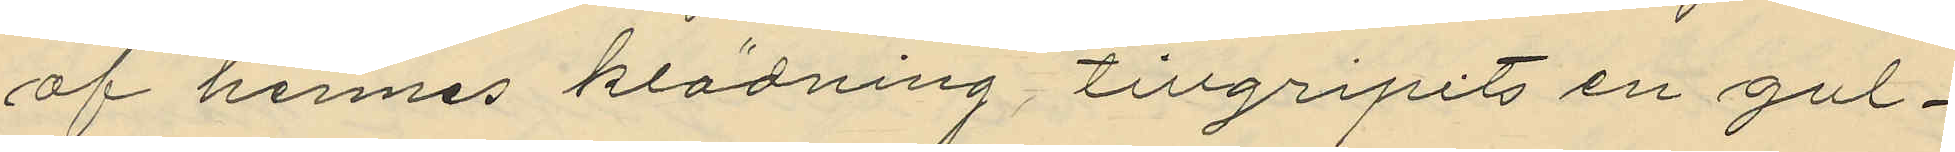af hennes klädning tillgripits en gul¬
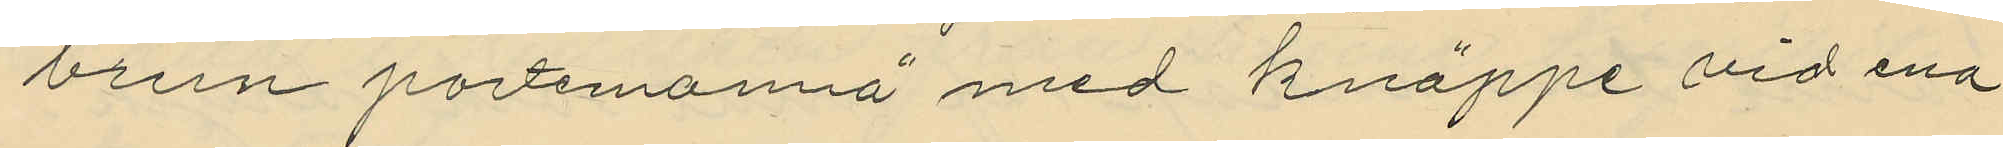brun portmonnä med knäppe vid ena
